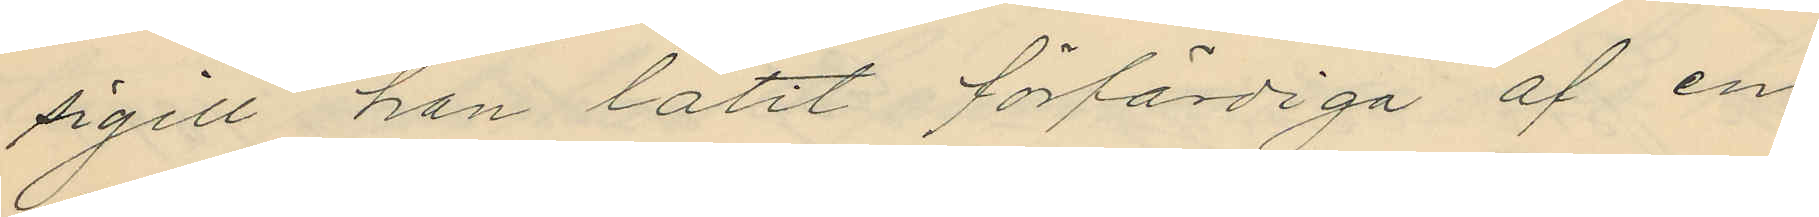sigill han låtit förfärdiga af en
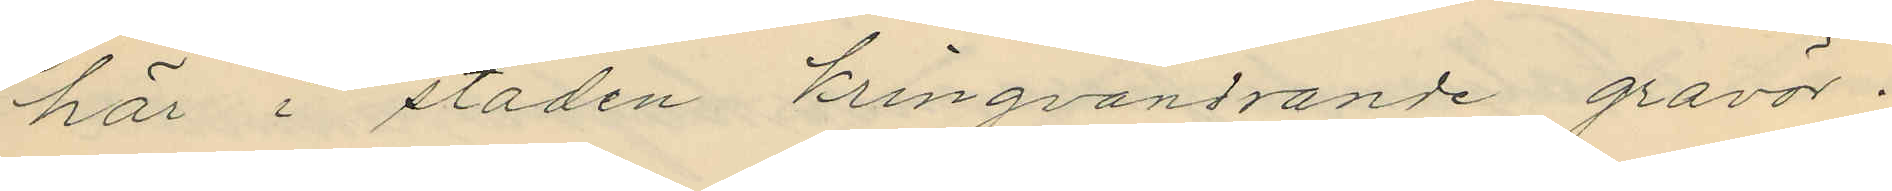här i staden kringvandrande gravör;
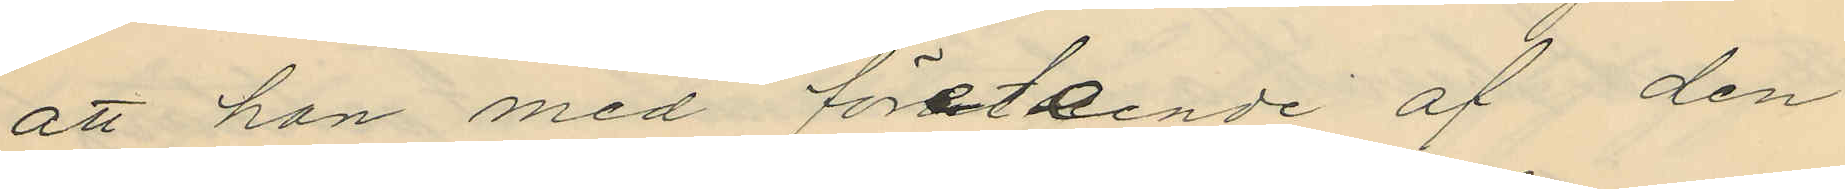att han med företeende af den
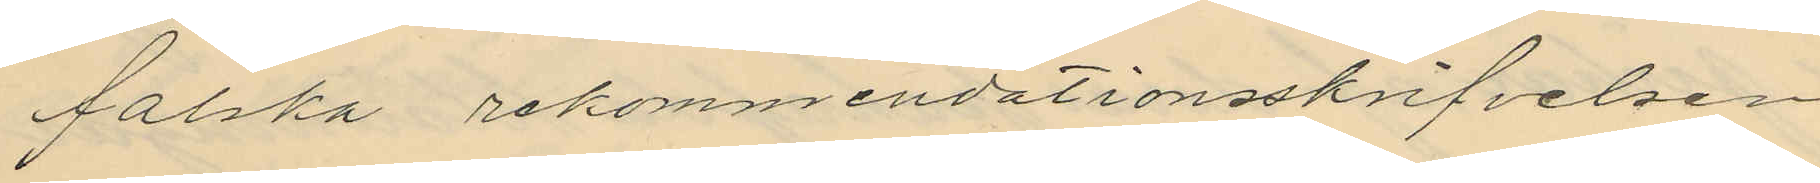falska rekommendationsskrifvelsen
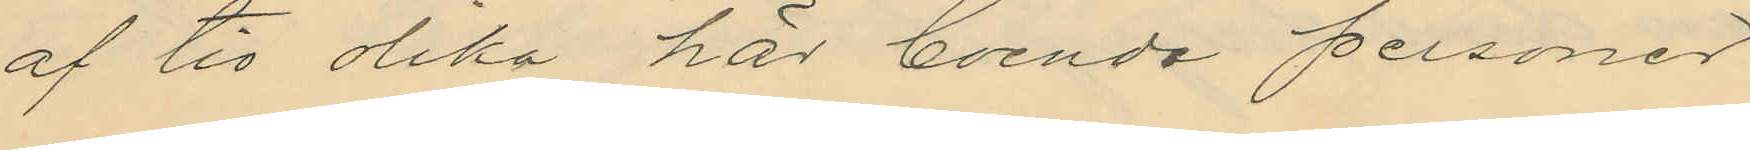af tio olika här boende personer
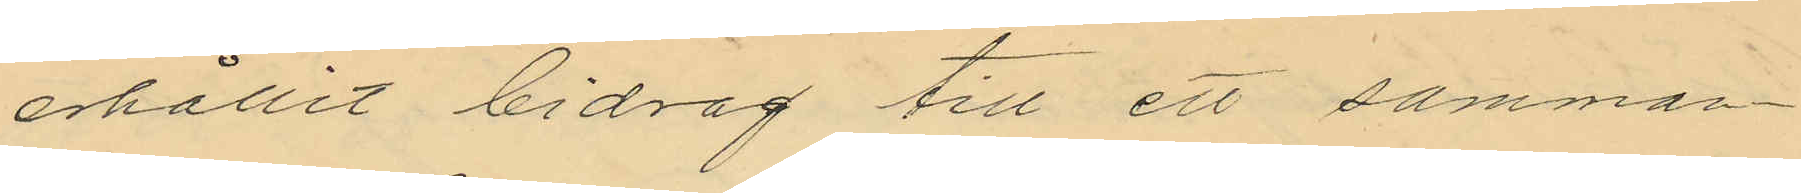erhållit bidrag till ett samman¬
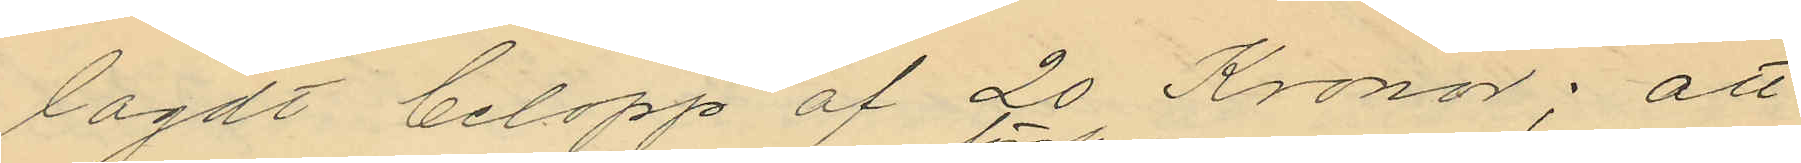lagdt belopp af 20 Kronor; att
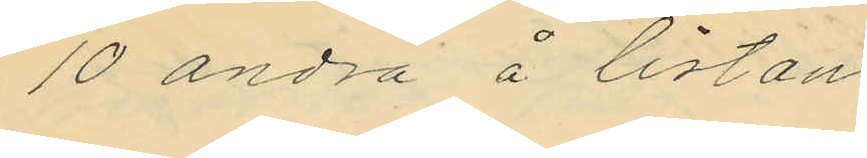10 andra å listan
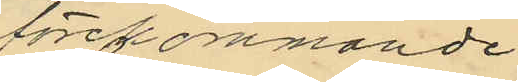förekommande
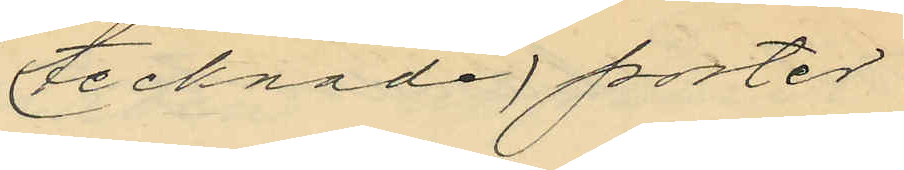(tecknade) poster
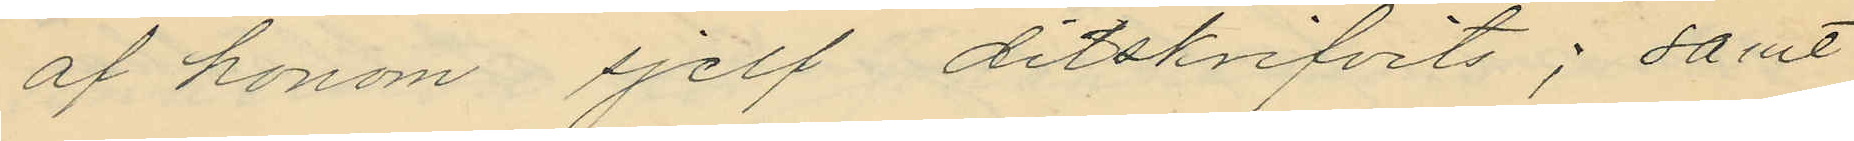af honom sjelf ditskrifvits; samt
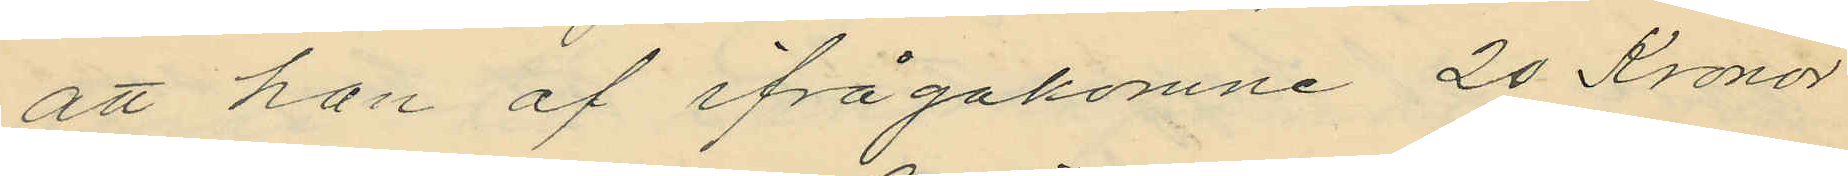att han af ifrågakomne 20 Kronor
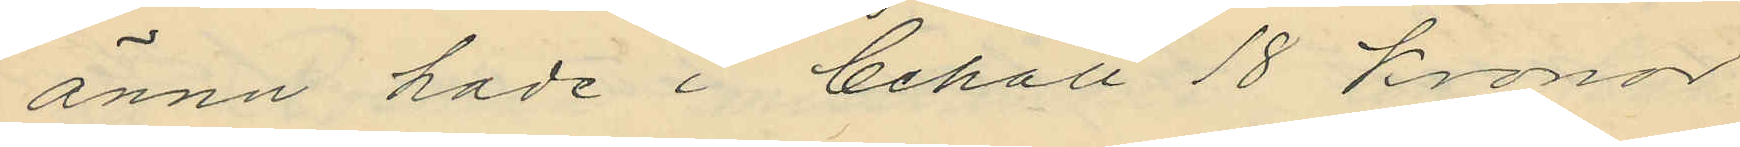ännu hade i behåll 18 kronor
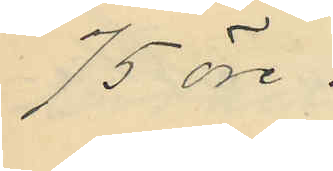75 öre.
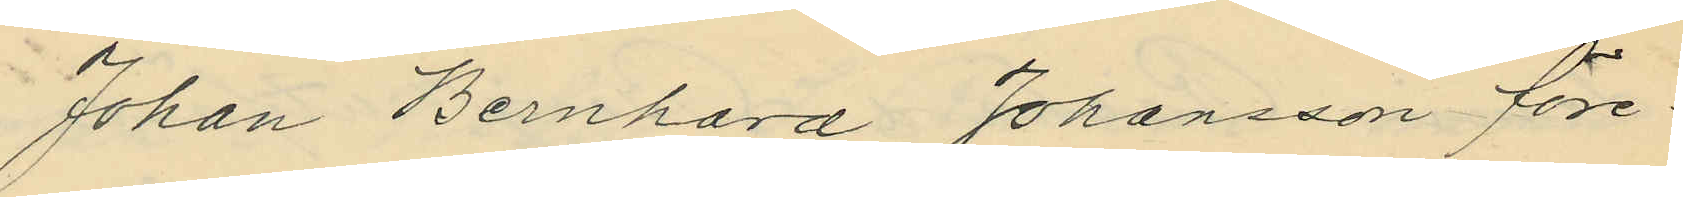Johan Bernhard Johansson före¬
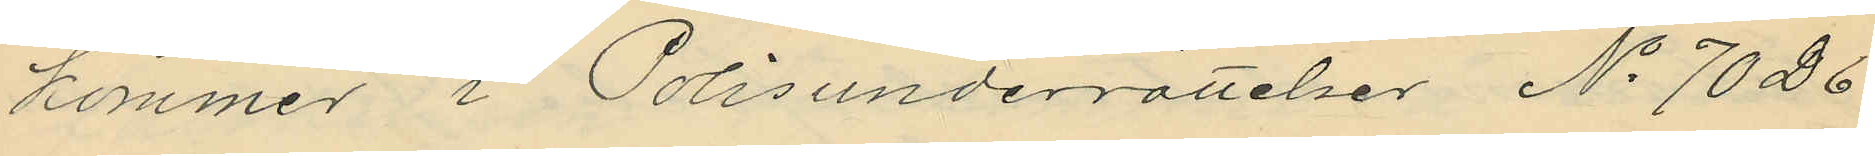kommer i Polisunderrättelser No 7026
